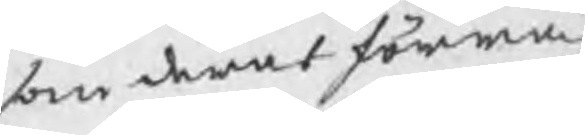som deras förra
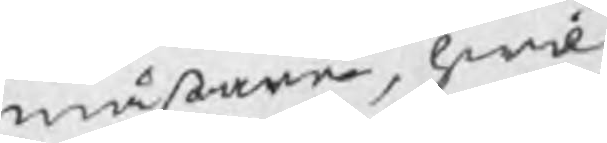mästare, hwil¬
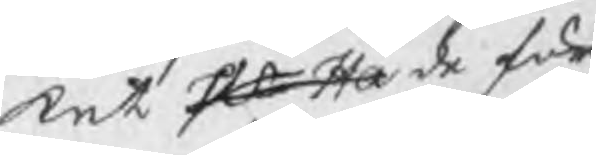ket Hr Ha de för
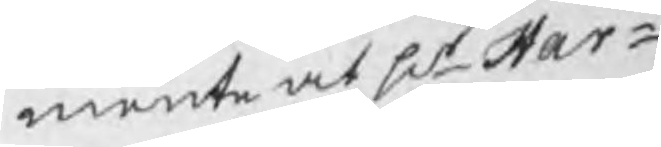mente at Hr Har¬
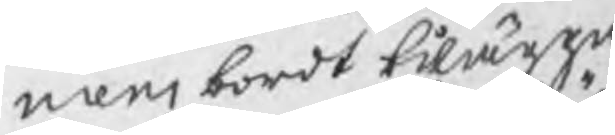mens bordt tilägga
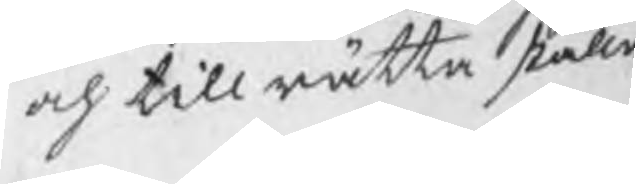och till rätta ställa
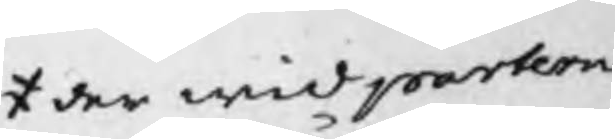der wid parterne/ 
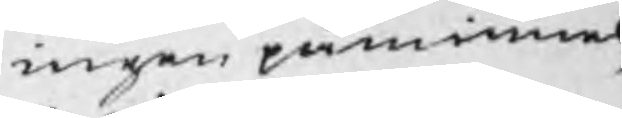ingen påminnel¬
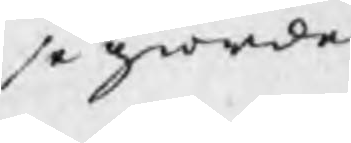se giorde.
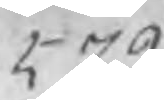579
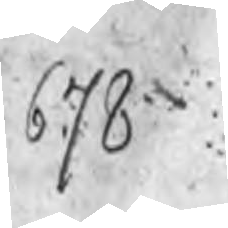678
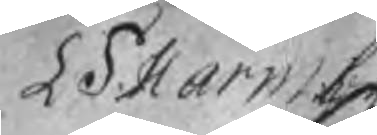L S Harmen
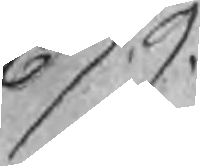679
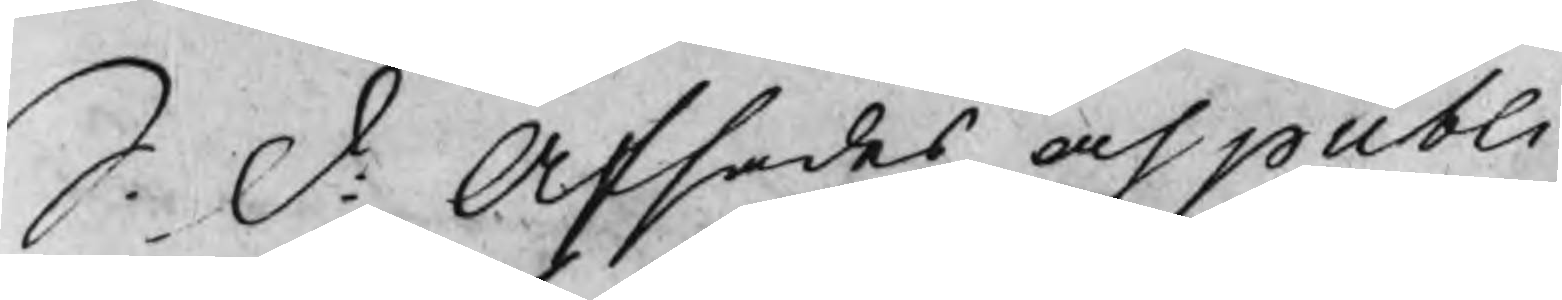S: D: Afsades och publi
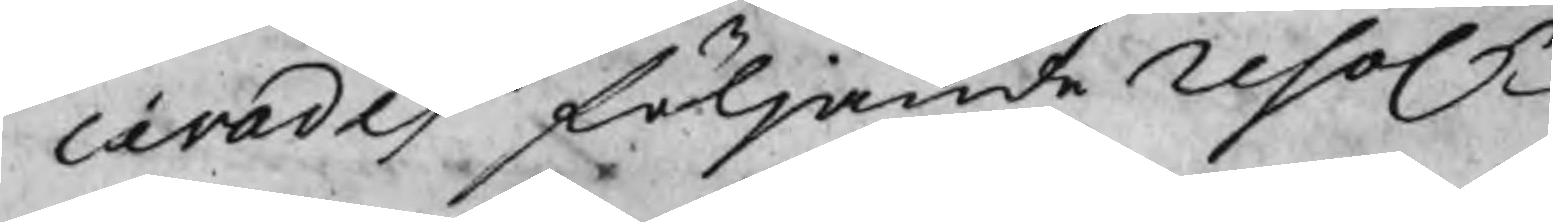cärades följande resol
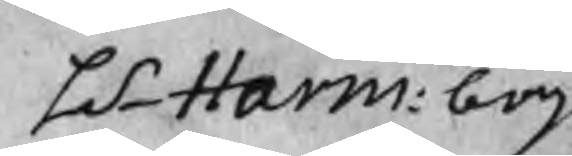LS Harm: bog:
